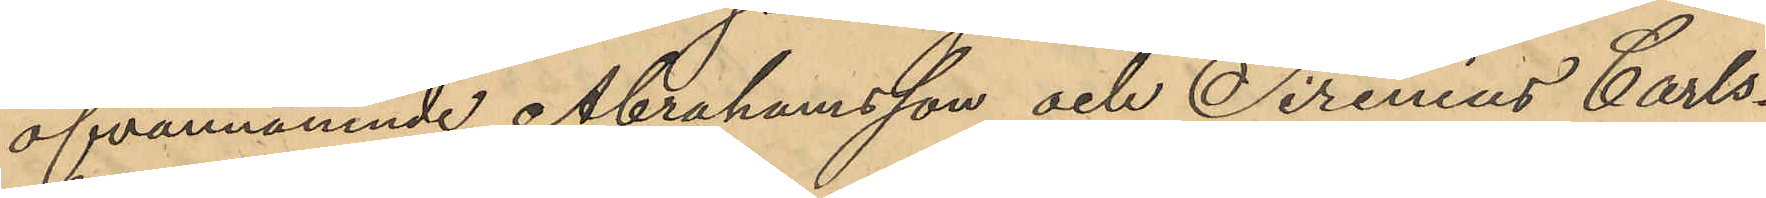ofvannämnde Abrahamsson och Sirenius Carls¬
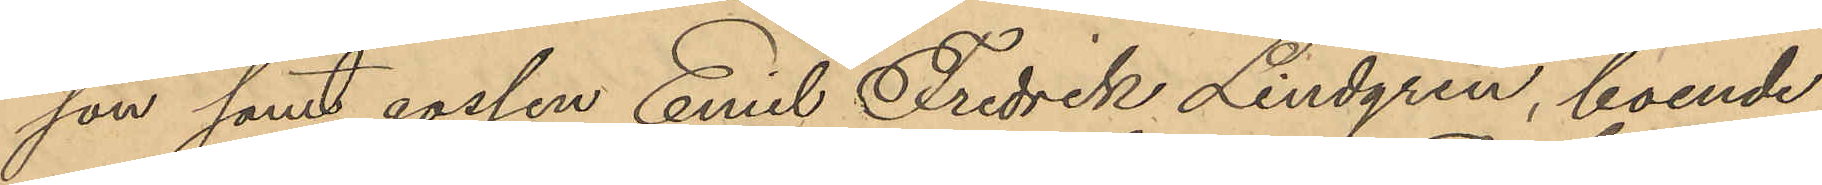son samt gossen Emil Fredrik Lindgren, boende
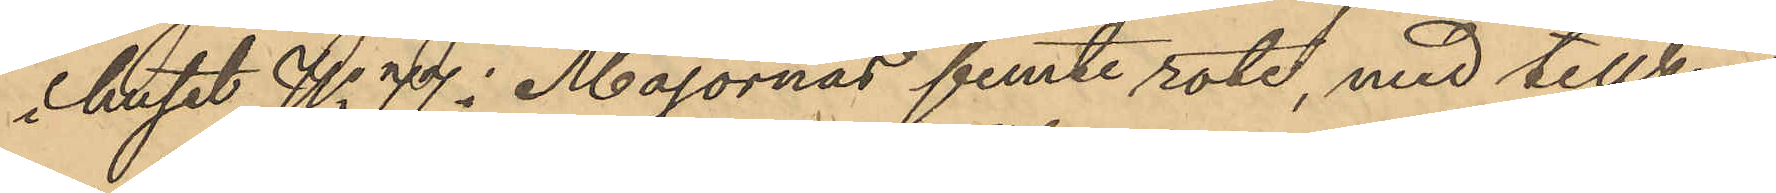i huset No 77 i Majornas femte rote, med tillkän¬
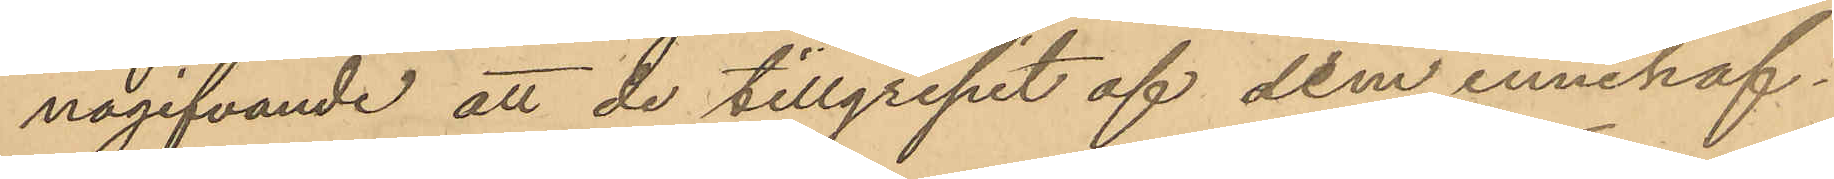nagifvande att de tillgripit af dem innehaf¬
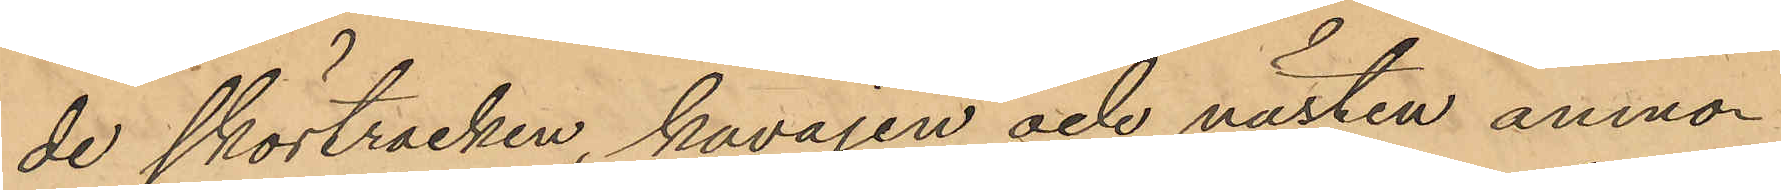de skörtrocken, kavajen och västen anmo¬
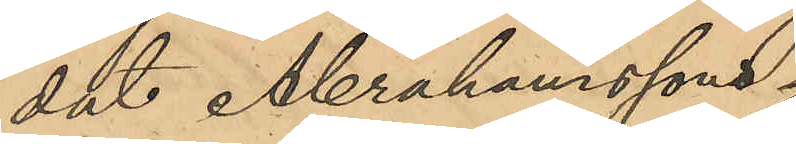dat Abrahamssons
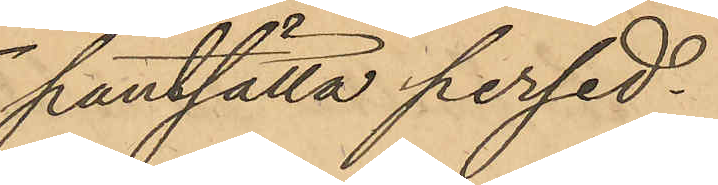pantsätta persed¬
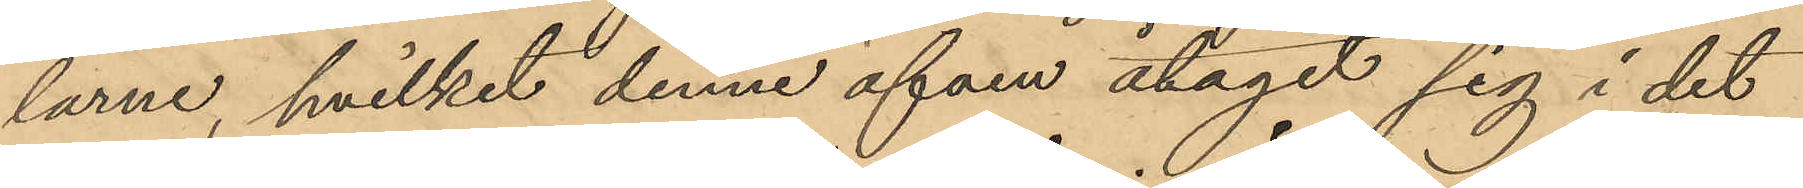larne, hvilket denne äfven åtagit sig i det
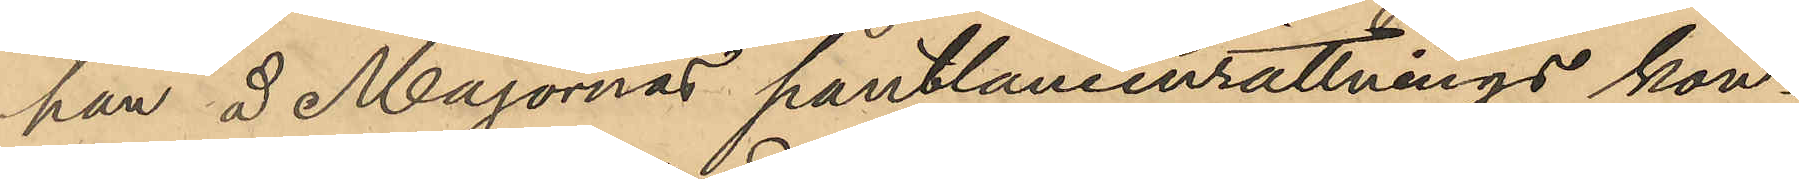han å Majornas pantlåneinrättnings kon¬
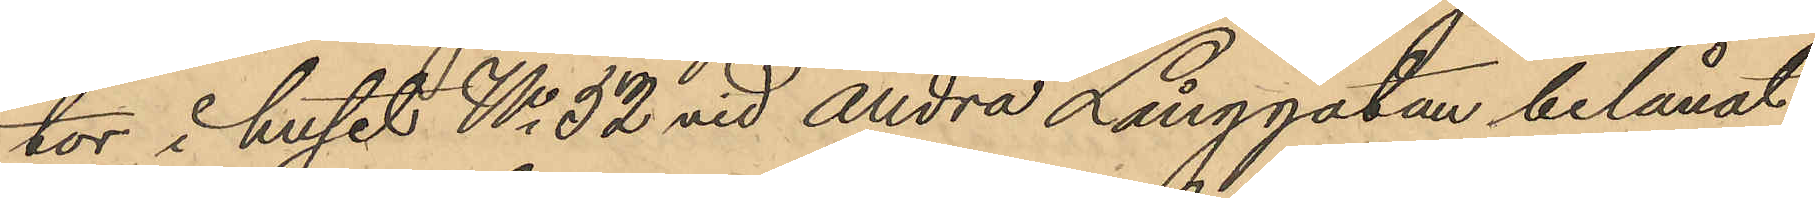tor i huset No 32 vid Andra Långgatan belånat
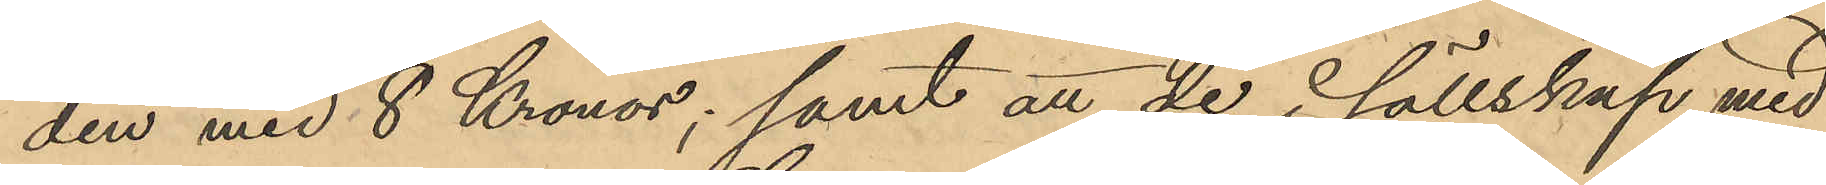den med 8 Kronor; samt att de i sällskap med
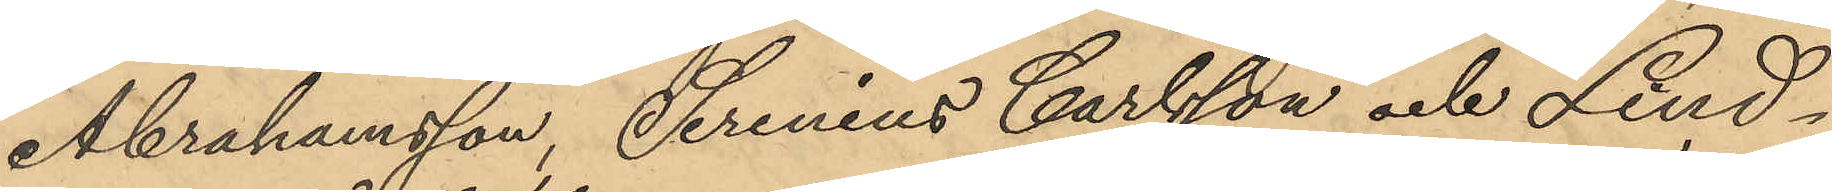Abrahamsson, Serenius Carlsson och Lind¬
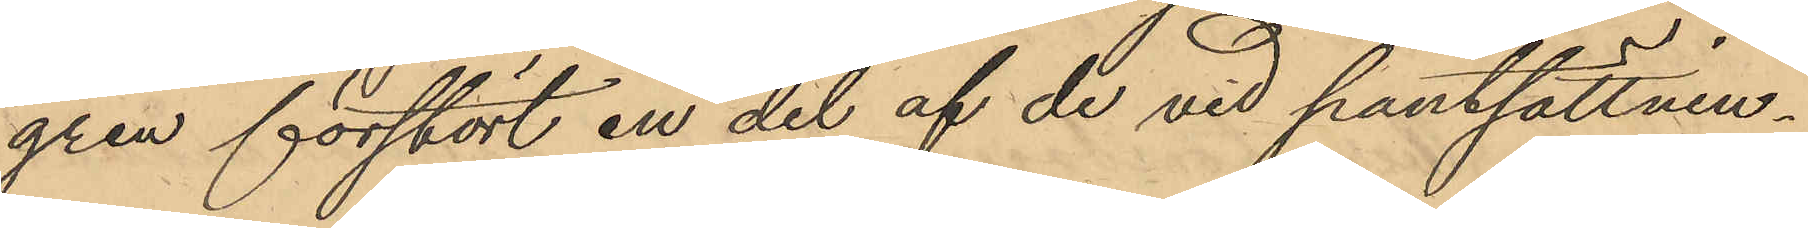gren förstört en del af de vid pantsättnin¬
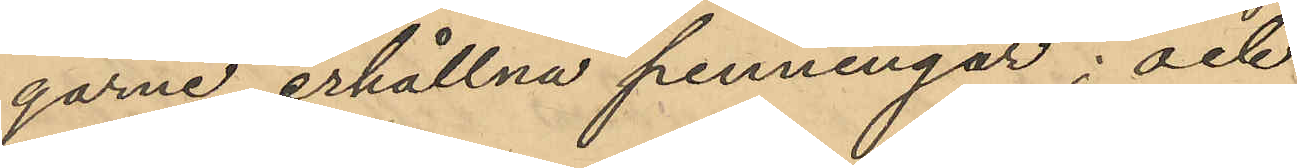garne erhållna penningar; och
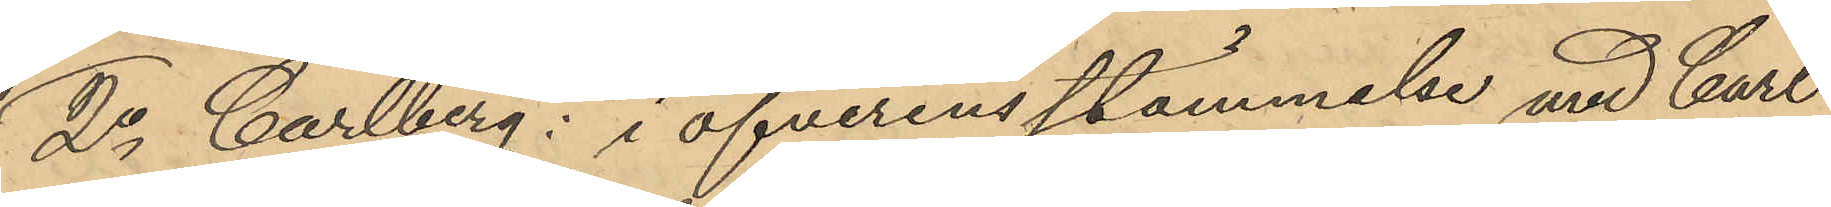2o Carlberg: i öfverensstämmelse med Carl
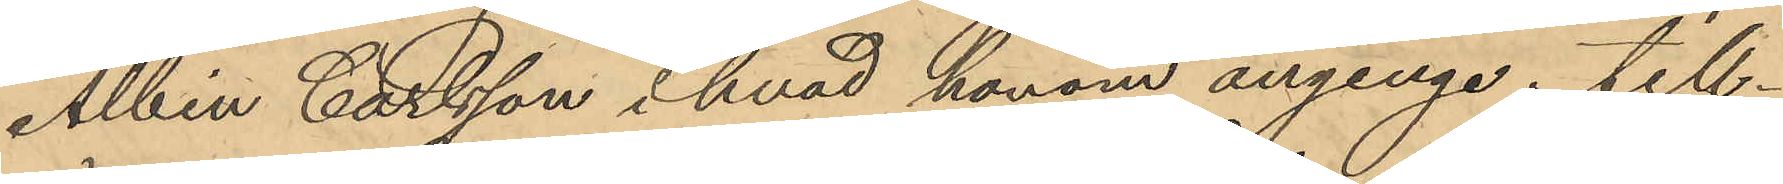Albin Carlsson i hvad honom anginge till¬
